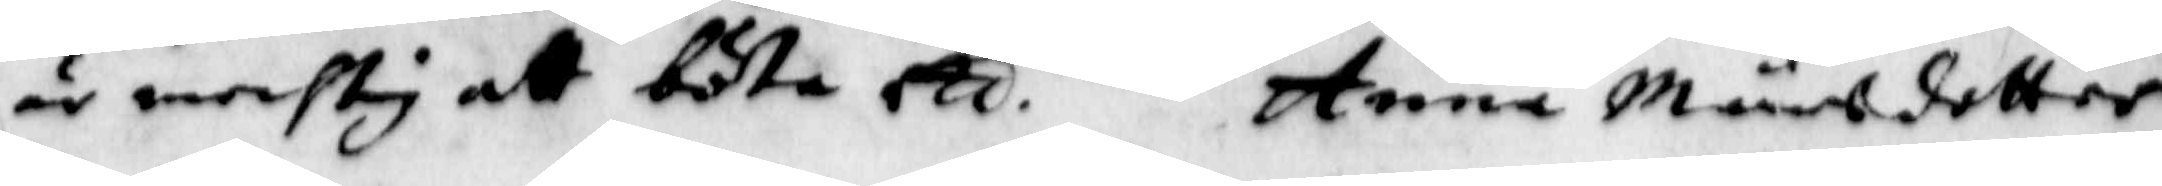är mechtig att böta etc. Anna Månsdotter
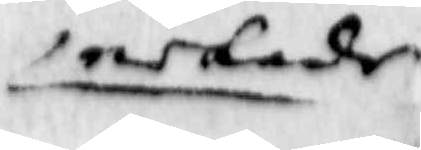nekade
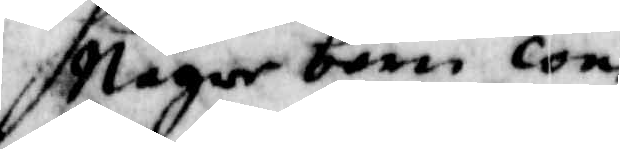Någre barn con¬
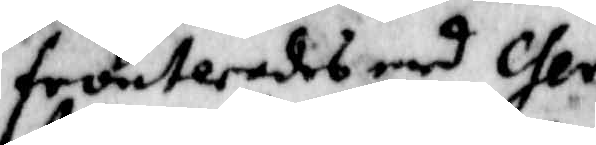fronterades med Che¬
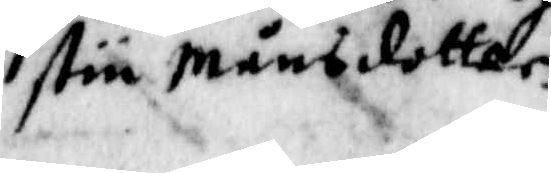stin Månsdotter.
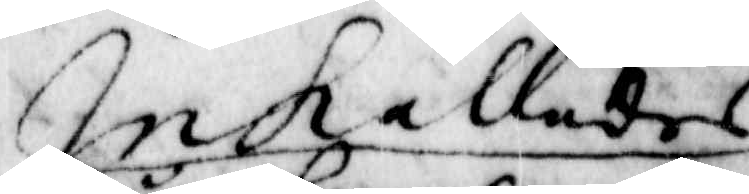Inkallades
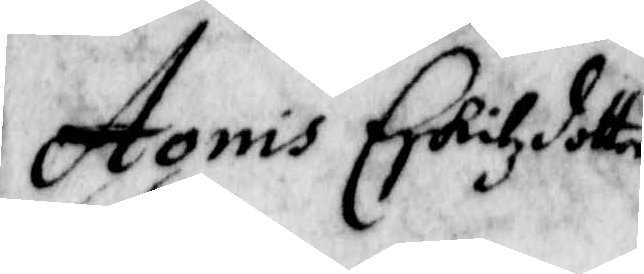Agnis Eskilzdotter.
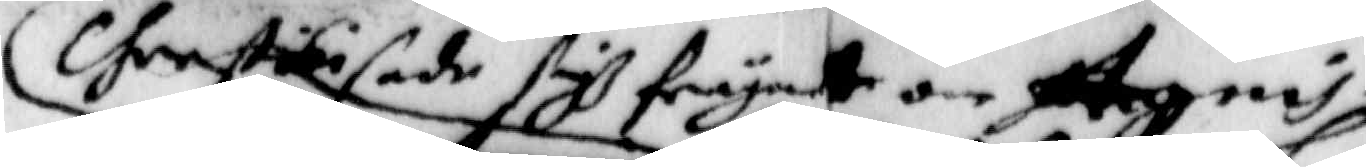Chrestin sade sigh frågat om Agnis
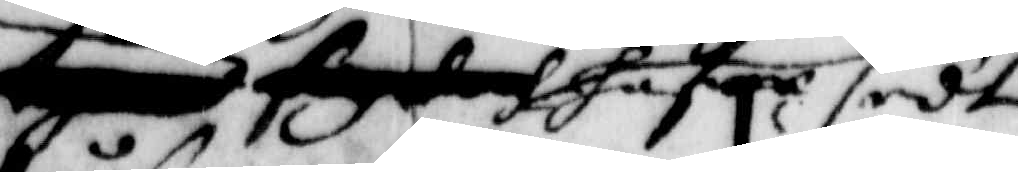A fyd hafre sedt
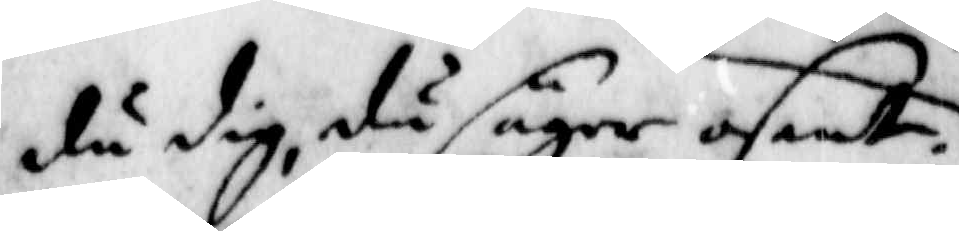du dig, då säyer osant.
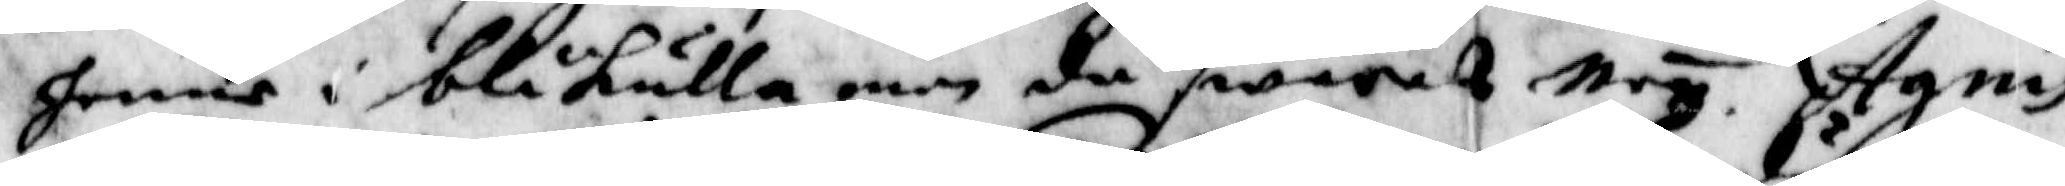henne i blåkulla men då swarades Ney. Agnis
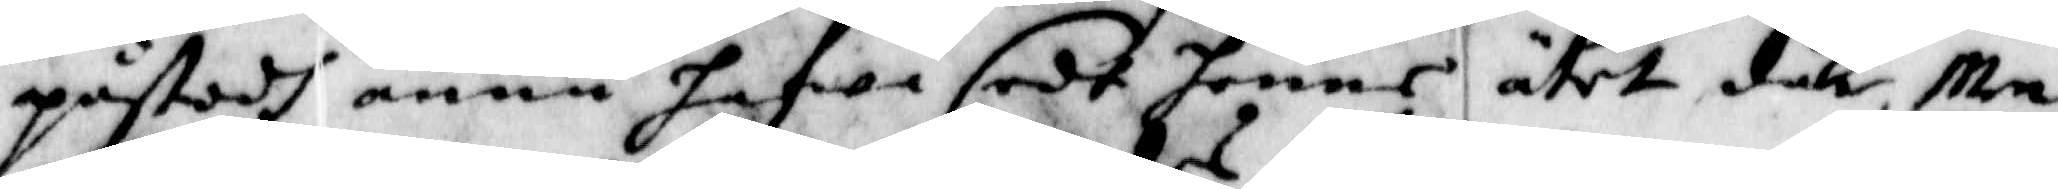påstodh ännu hafwa sedt henne ätet dän, Men
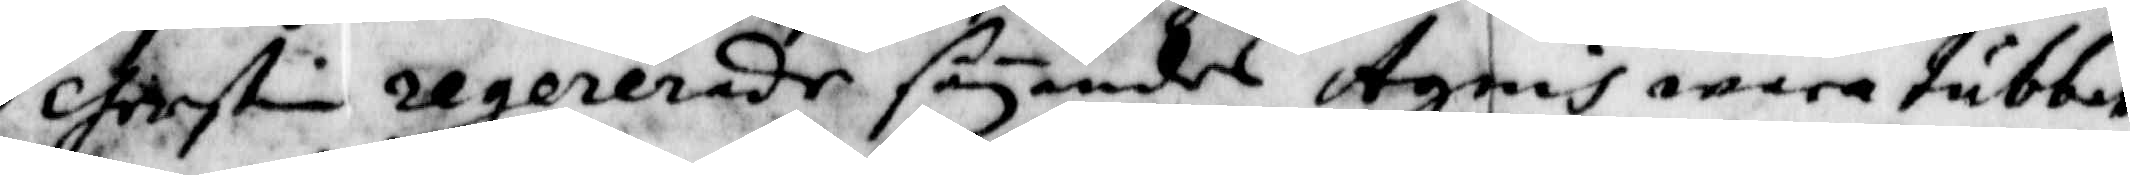Cherstin regererade säyandes Agnis wara tubbat
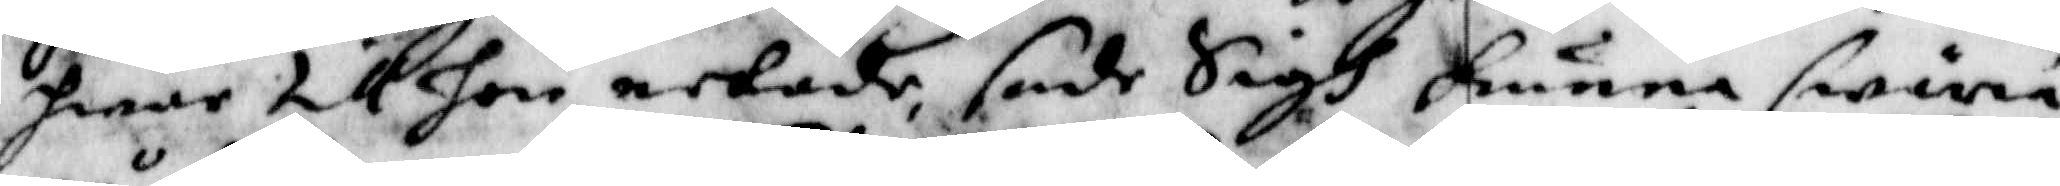henne till hon nekade, sade Sigh kunna swiria
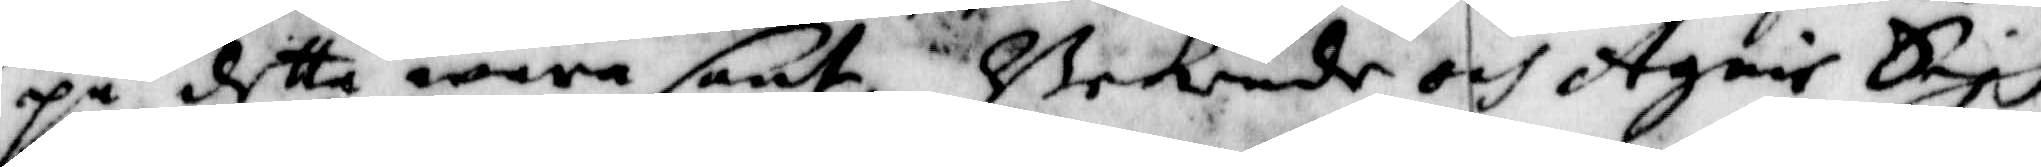på detta wara sant. Bekende och Agnis Sigh
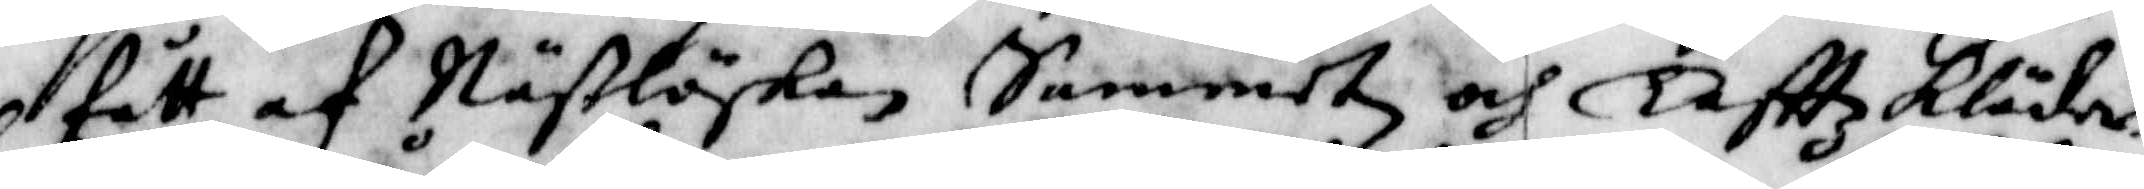fått af Näßlöskan Sammetz och Taftt Kläder.
